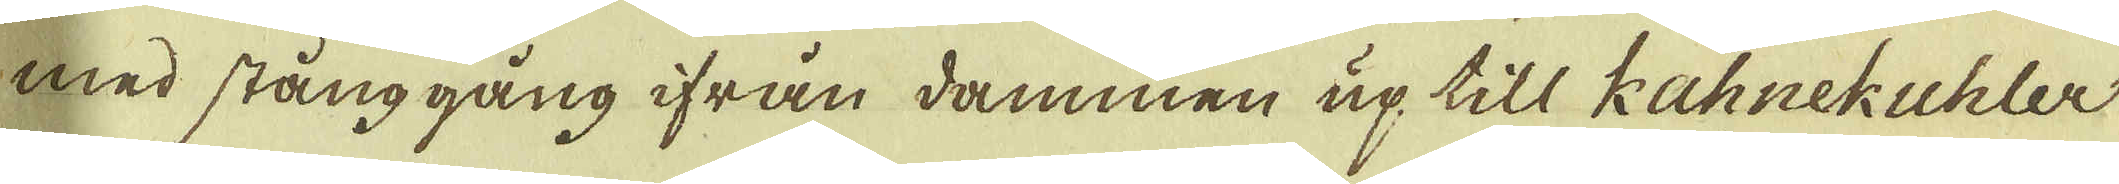med stånggång ifrån dammen up till Kahnekuhler
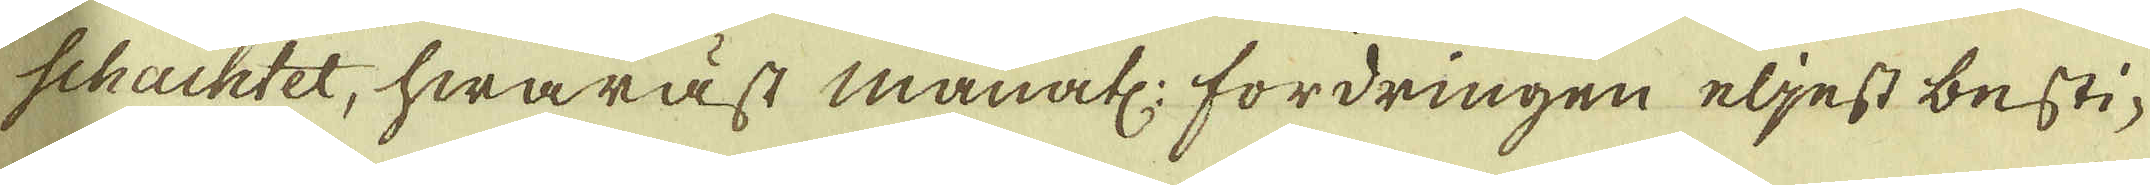schachtet, hwaräst månatl: fordringen eljest besti-
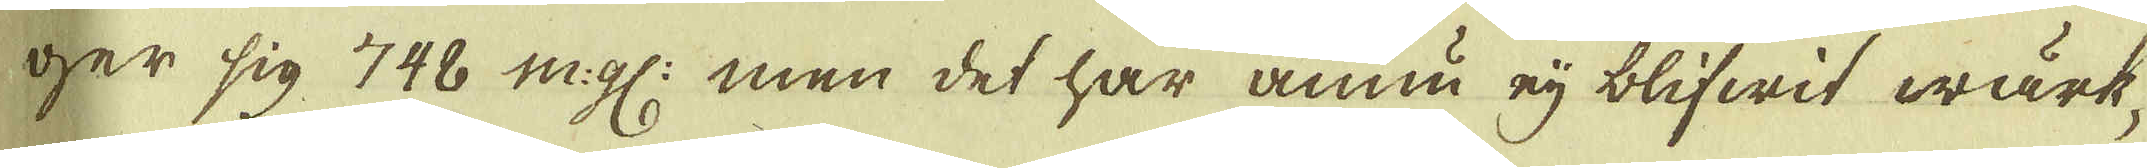ger sig 748 m:gl: men det har ännu eij blifwit wärk-
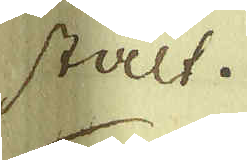stält.
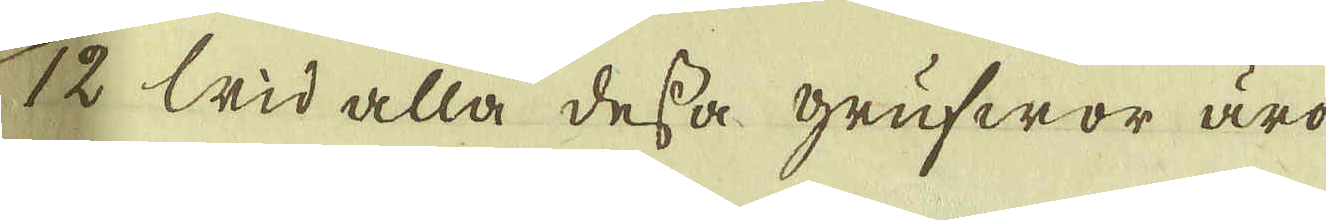12 Wid alla dessa grufwor äro 
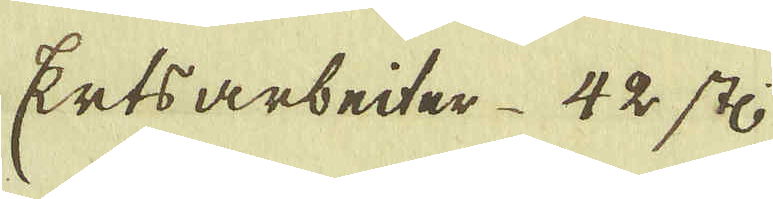Ertsarbeiter 42 st:
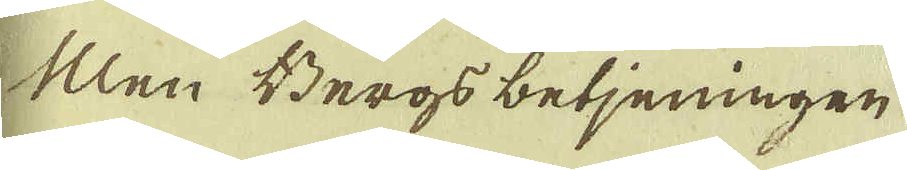Men Bergsbetjeningen
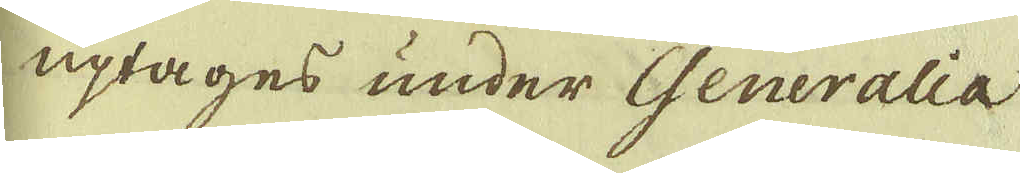uptages under Generalia
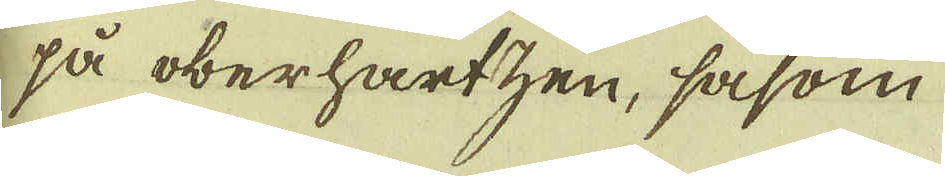på oberhartzen, såsom
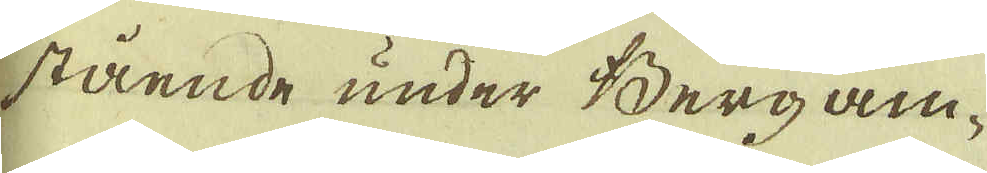stående under Berg am-
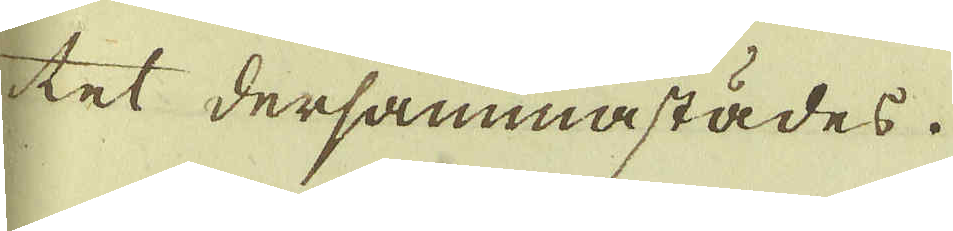tet dersammastädes.
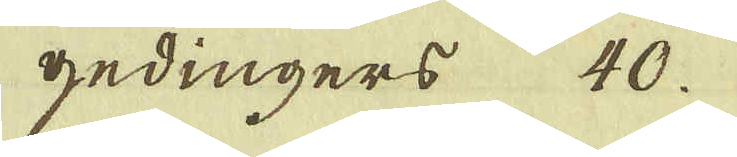gedingers 40.
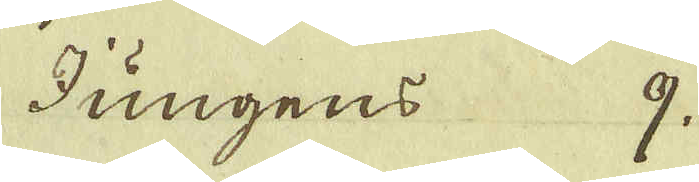Jungens 9.
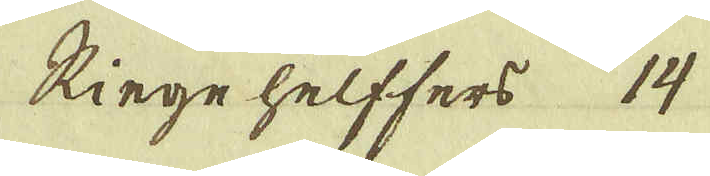Ringehelffers 14
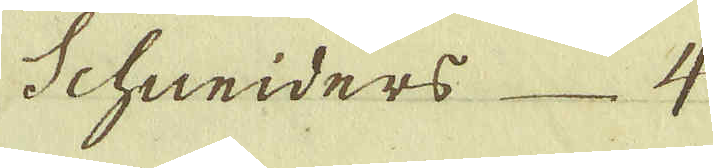Schreiders 4
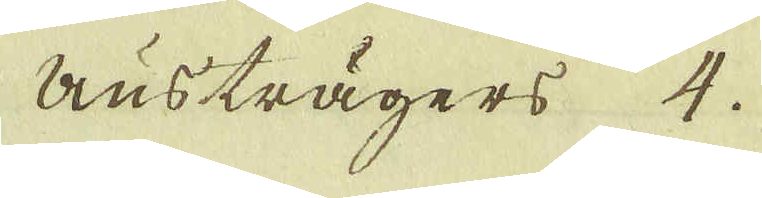Austrägers 4.
